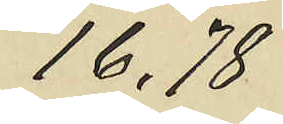16,78
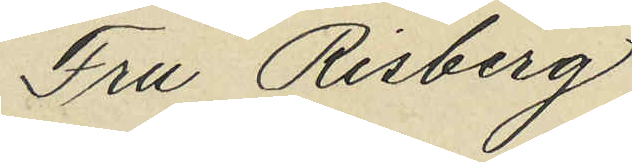Fru Risberg
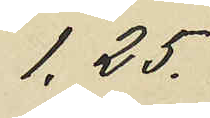1,25.
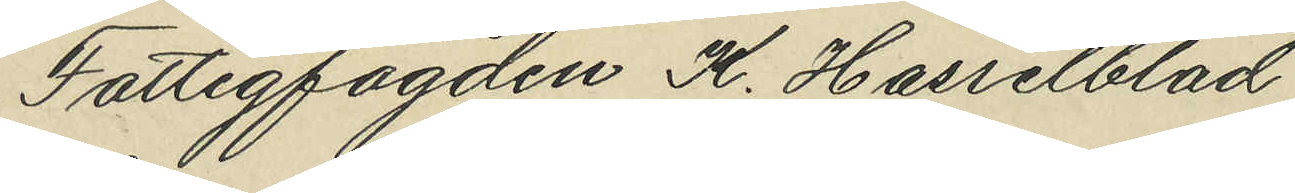Fattigfogden K. Hasselblad
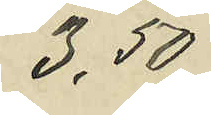3,50
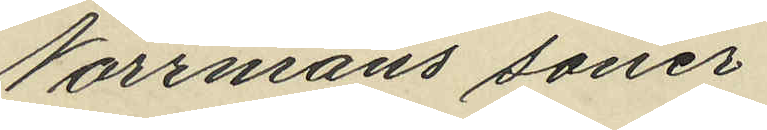Norrmans söner
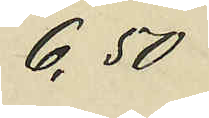6,50
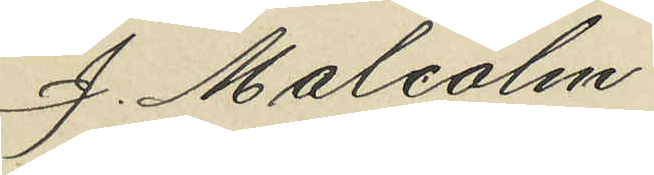J. Malcolm
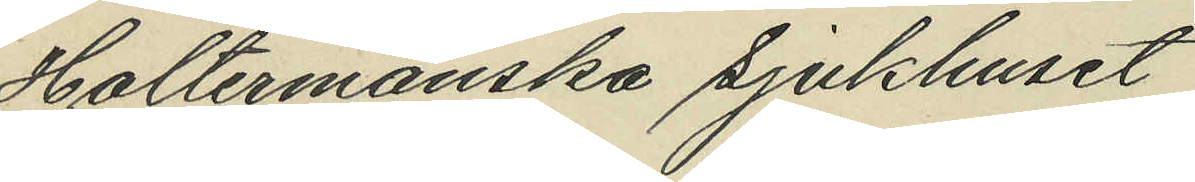Holtermanska sjukhuset
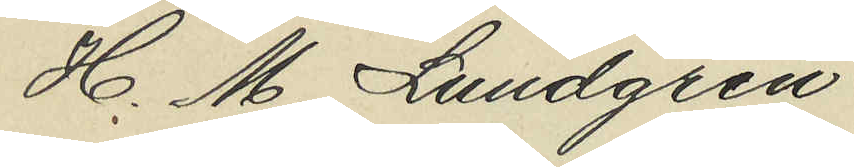H. M. Lundgren
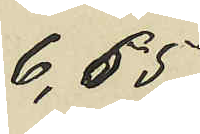6,65
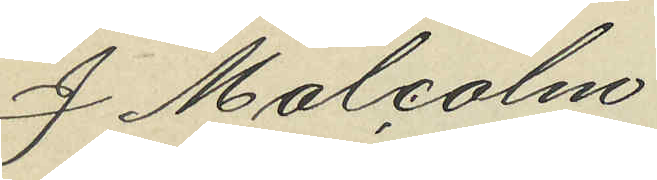J. Malcolm
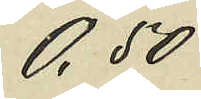0,50
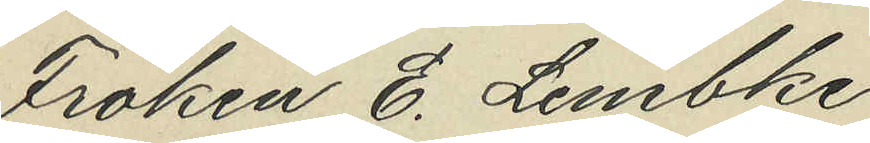Fröken E. Lembke
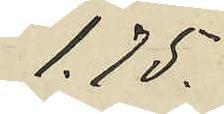1.75.
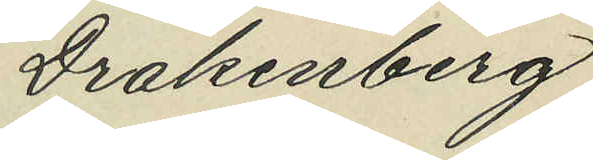Drakenberg
